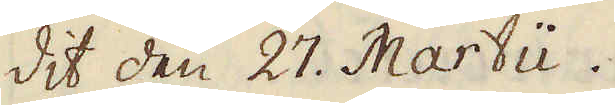dit den 27. Martii.
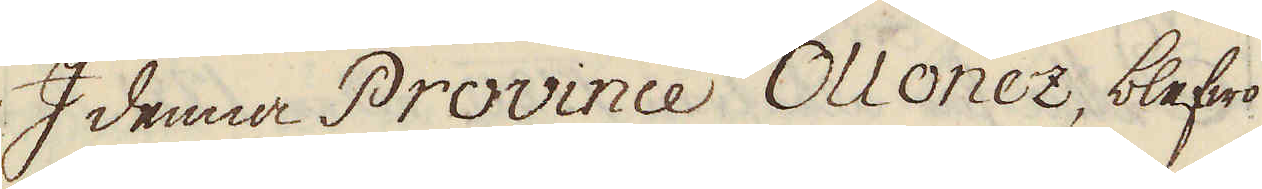I denna Province Ollonez, blefwo
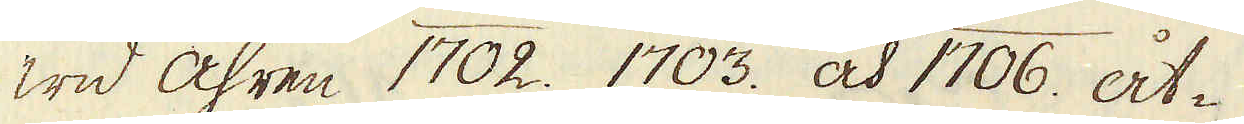wid åhren 1702. 1703. och 1706. åt-
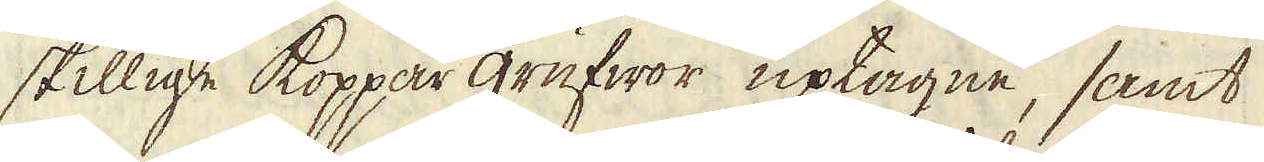skillige koppar grufwor uptagne, samt
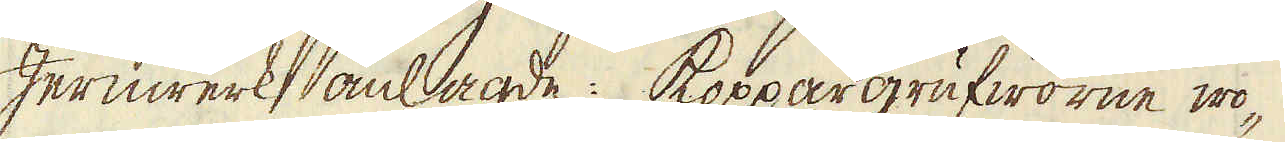Jernwerk anlagde: Koppargrufworne wo-
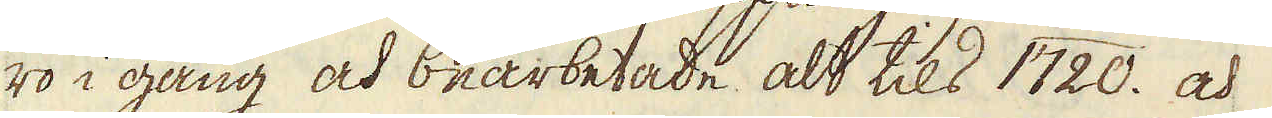ro i gång och bearbetade alt tils 1720. och
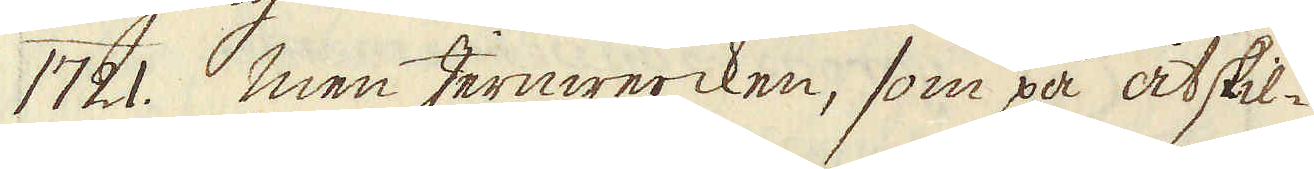1721. Men Jernwercken, som på åtskil-
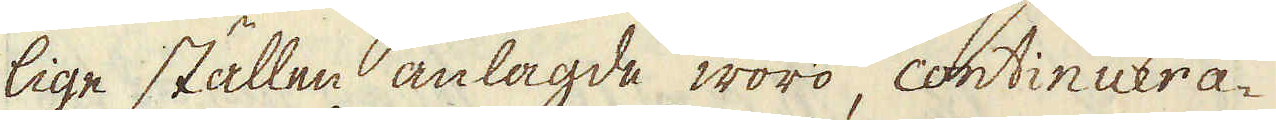lige ställen anlagde woro, continuera-
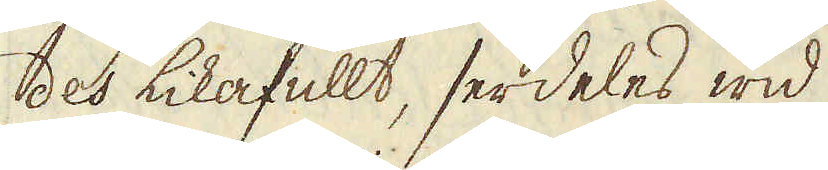des likafullt, serdeles wid
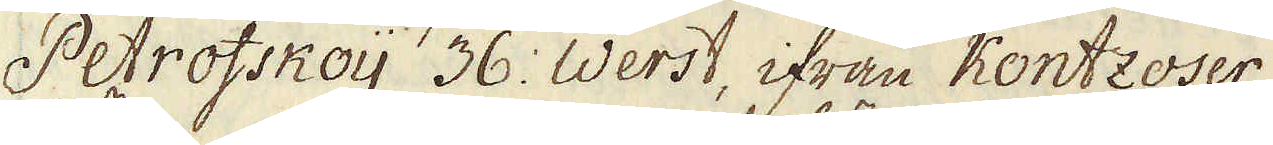Petrofskoij 36. Werst, ifrån Kontzoser
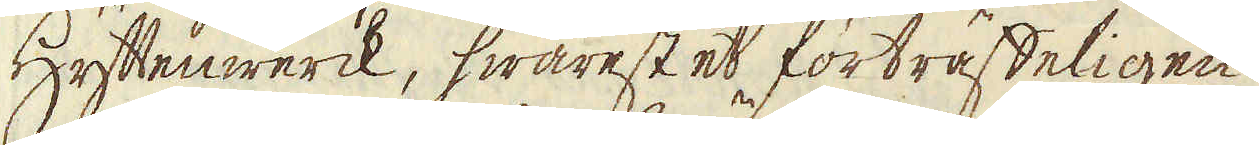Hyttenwerck, hwarest et förträffeligen
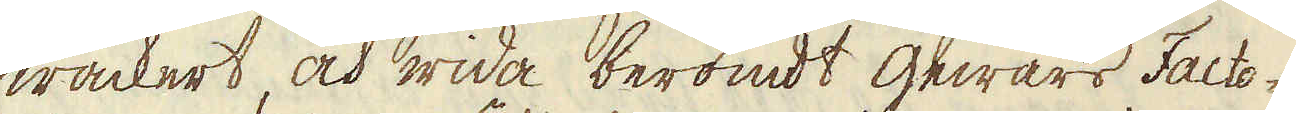wackert, och wida berömdt gewärs Facto-
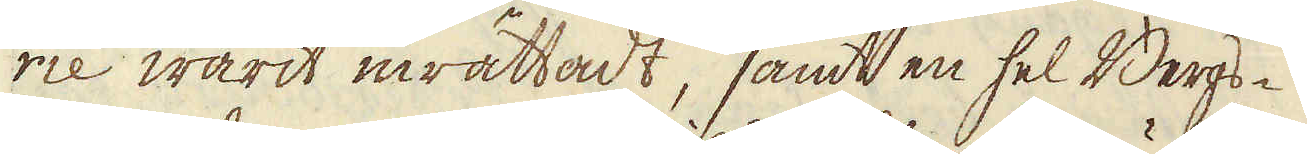rie warit inrättadt, samt en hel Bergs-
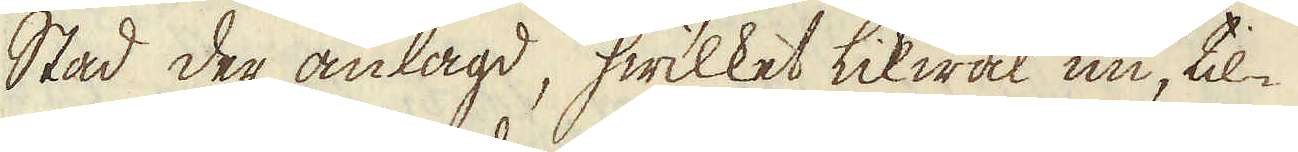Stad der anlagd, hwilket likwäl nu, til-
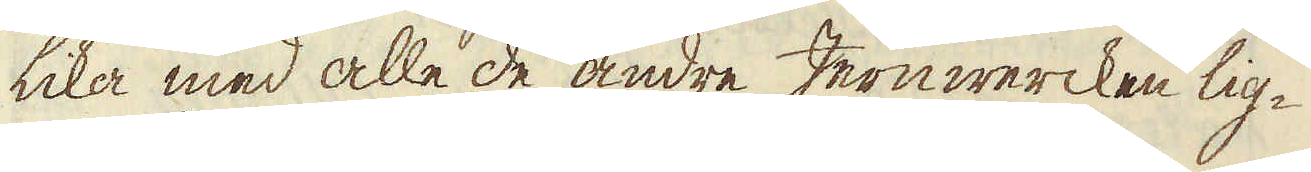lika med alle de andre Jernwercken lig-
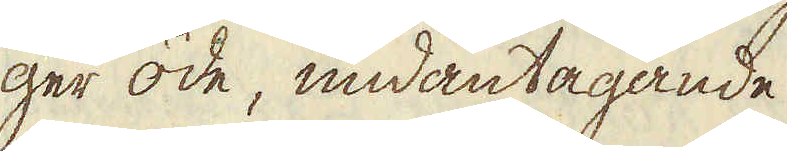ger öde, undantagande
